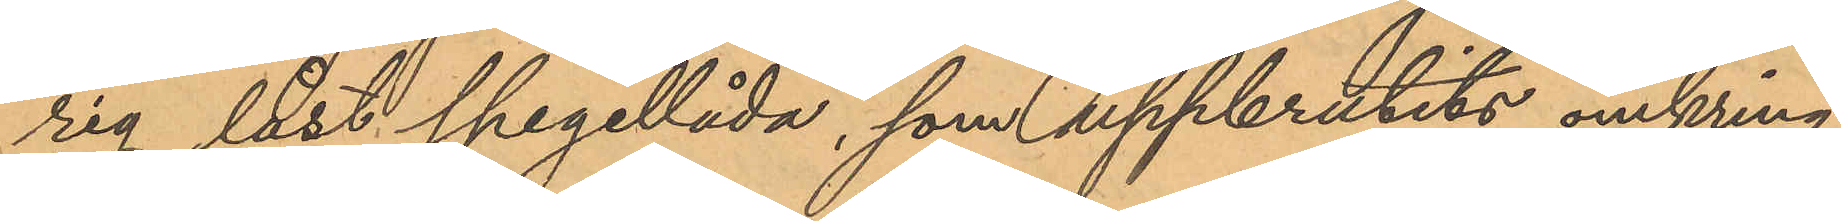rig låst spegellåda, som uppbrutits omkring
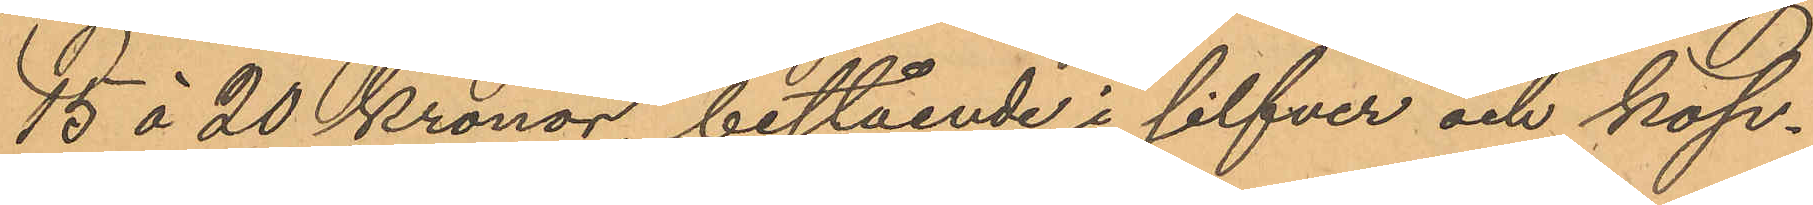15 á 20 Kronor, bestående i silfver och kop¬
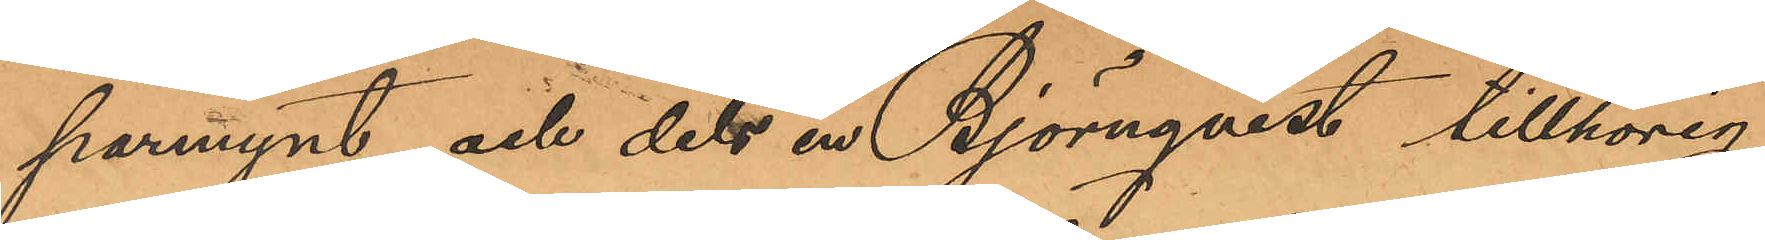parmynt och dels en Björnqvist tillhörig
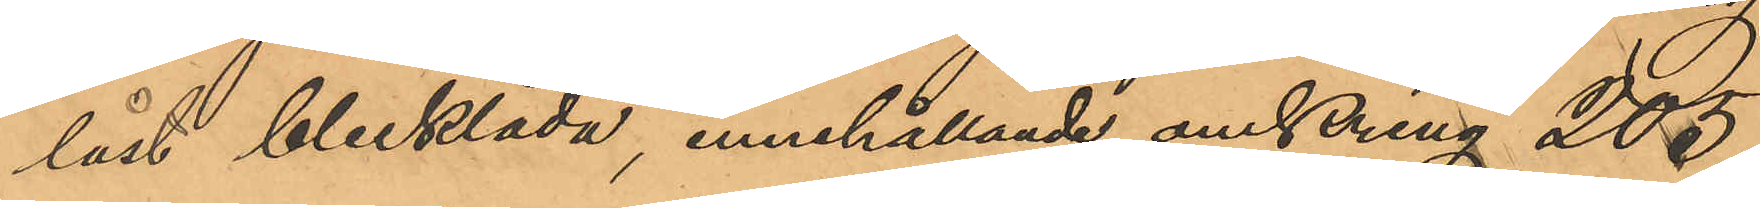låst blecklåda, innehållande omkring 205
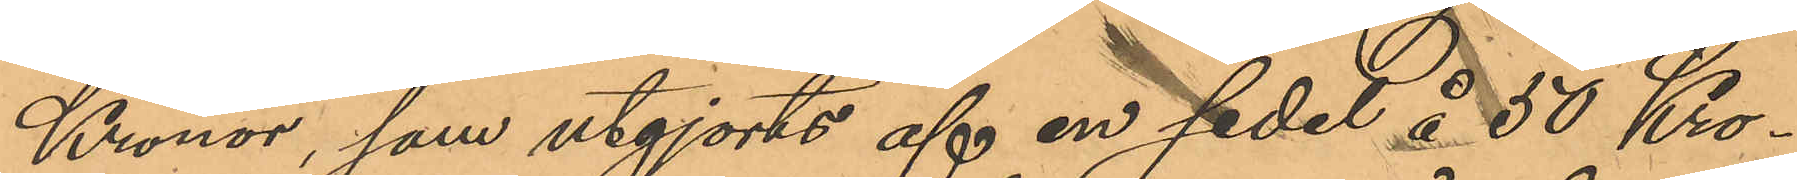Kronor, som utgjorts af en sedel å 50 Kro¬
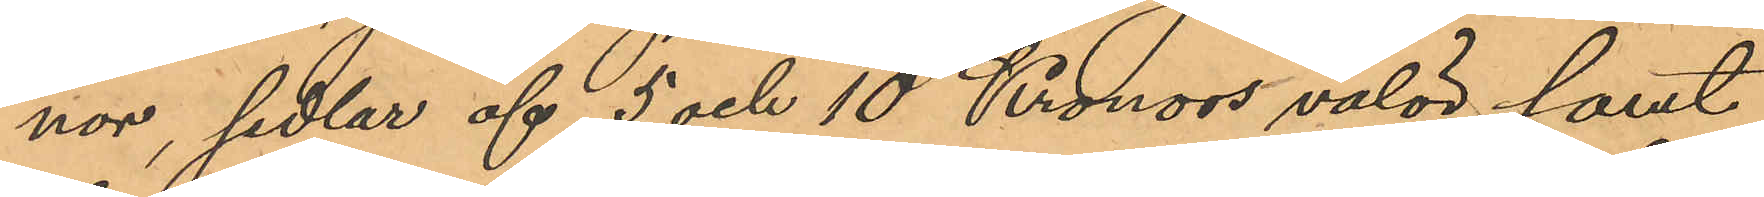nor, sedlar af 5 och 10 Kronors valör samt
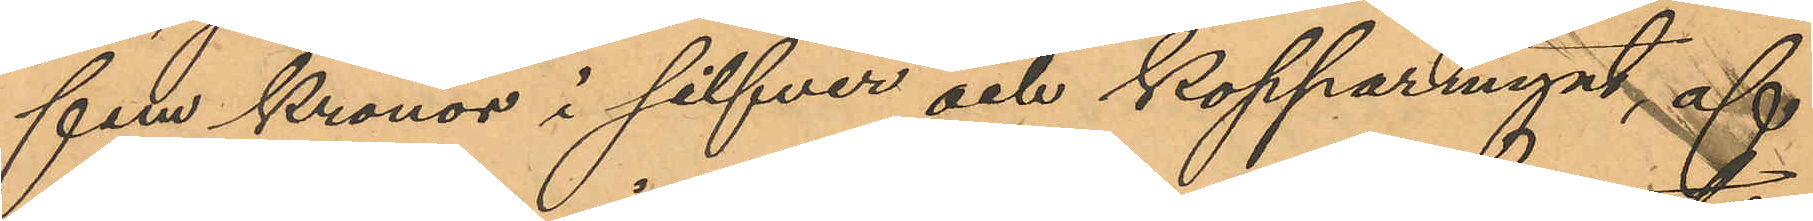fem Kronor i silfver och kopparmynt af
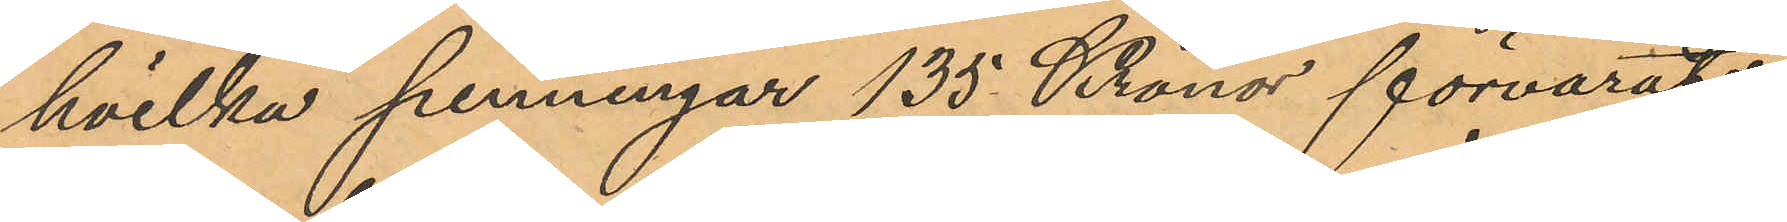hvilka penningar 135 Kronor förvarats
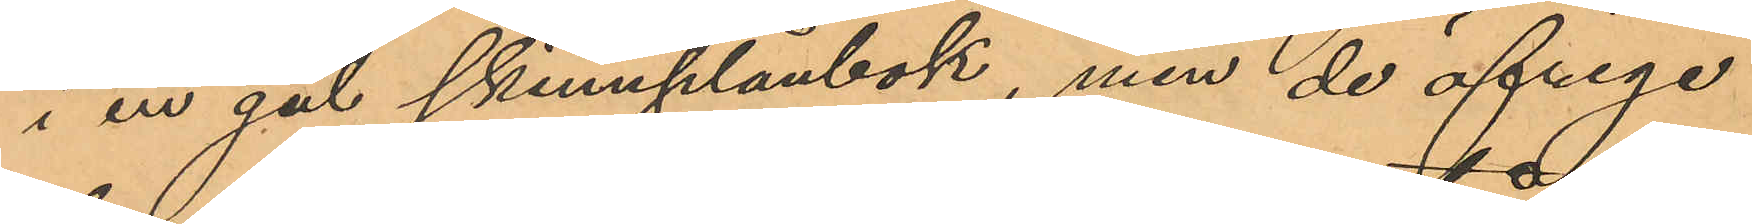i en gul skinnplånbok, men de öfriga
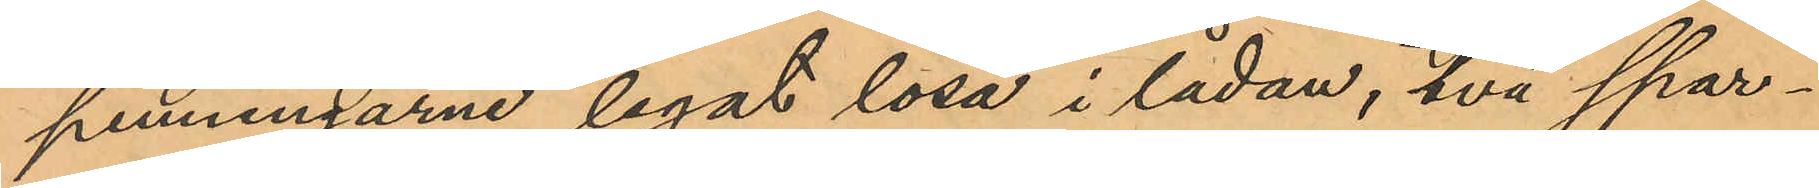penningarne legat lösa i lådan, två spar¬
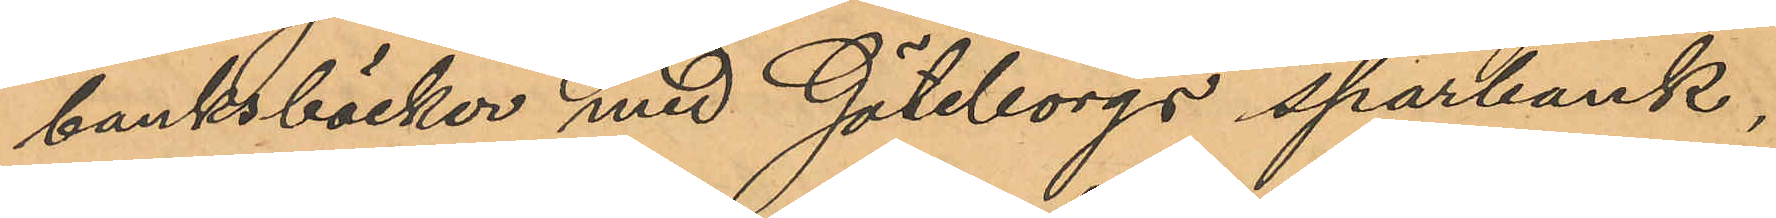banksböcker med Göteborgs sparbank,
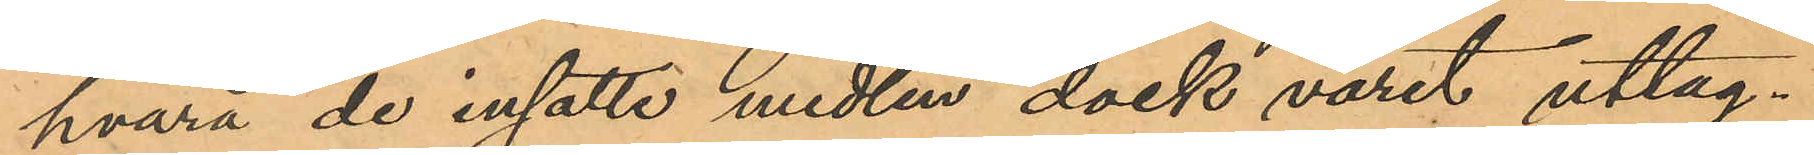hvarå de insatte medlen dock varit uttag¬
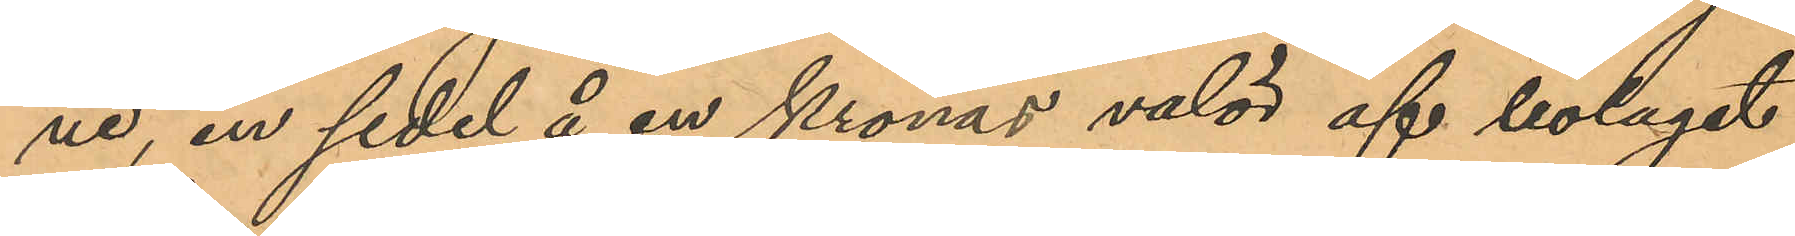ne, en sedel å en kronas valör af bolaget
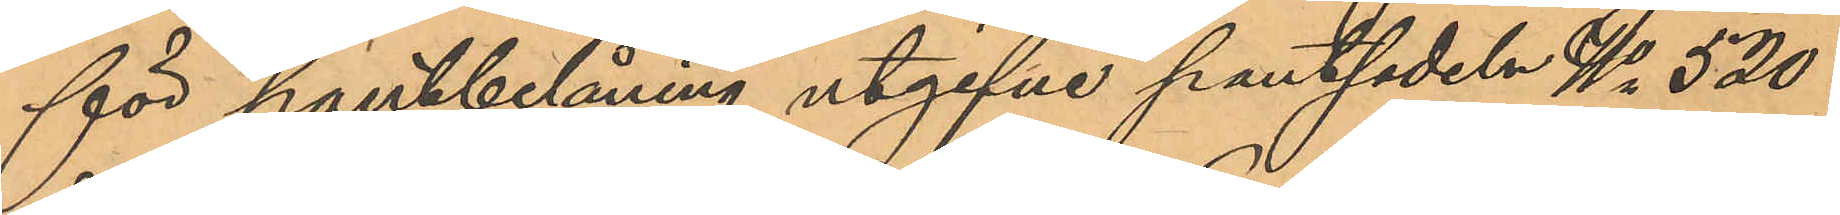för pantbelåning utgifne pantsedeln No 520
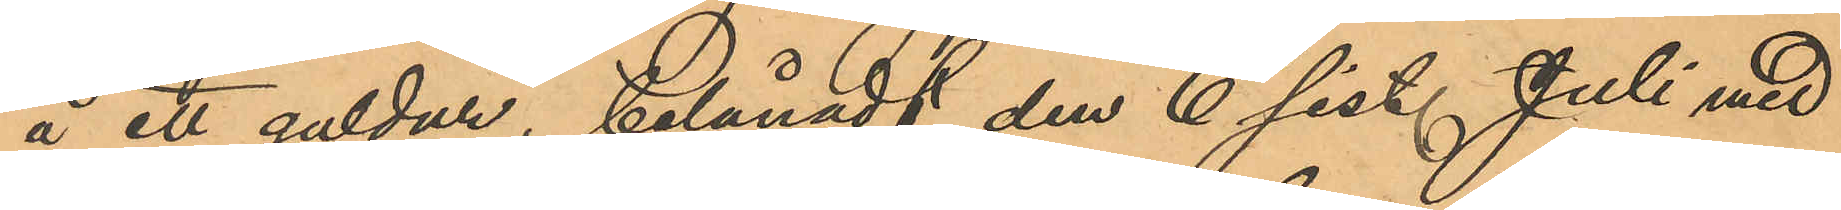å ett guldur, belånadt den 6 sist. Juli med
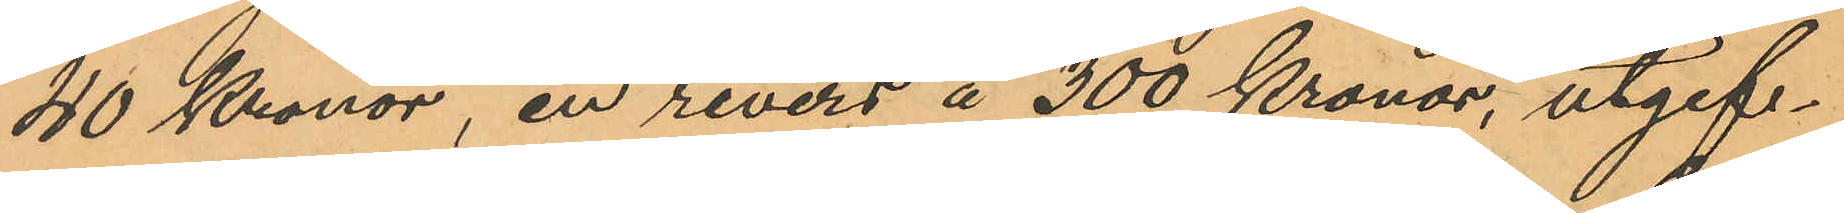40 Kronor, en revers å 300 Kronor, utgif¬
